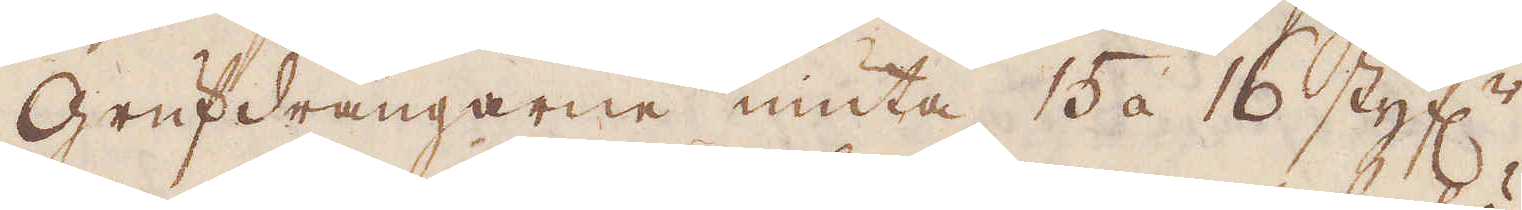Grufdrängarna niuta 15 a 16 styf:r
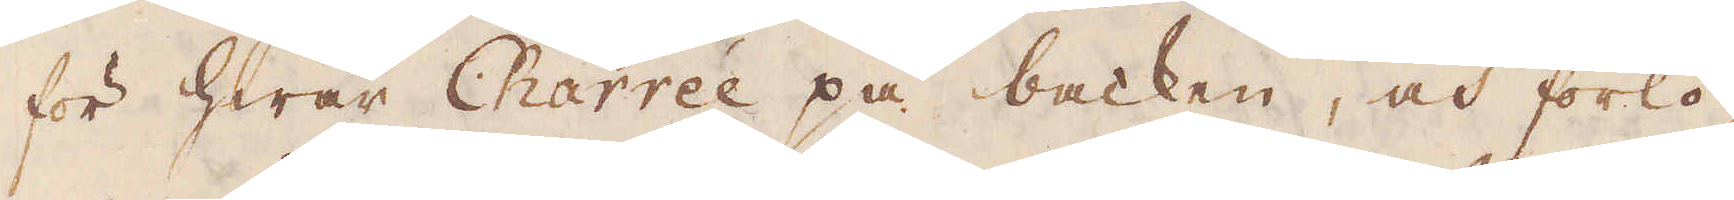för hwar Charrée på backen, och förlö-
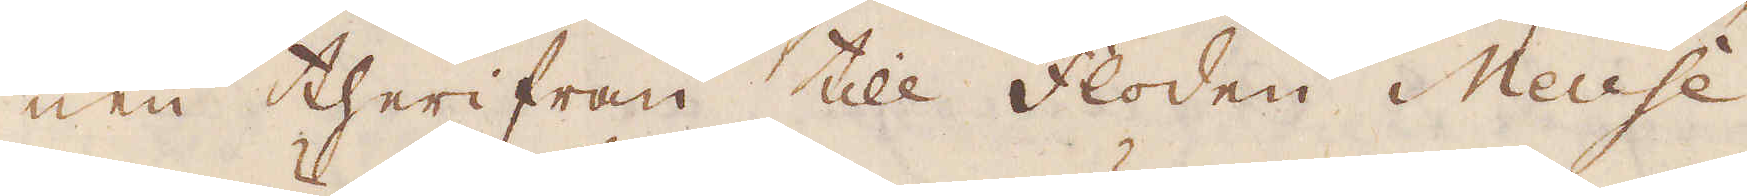nen therifrån till Floden Meuse
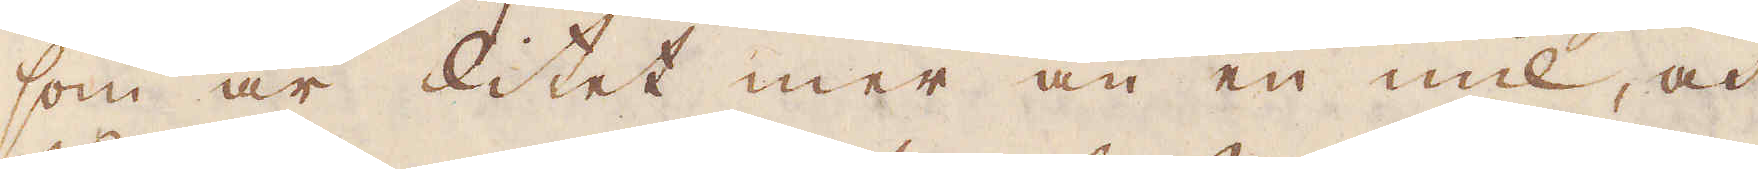som är litet mer än en mil, och
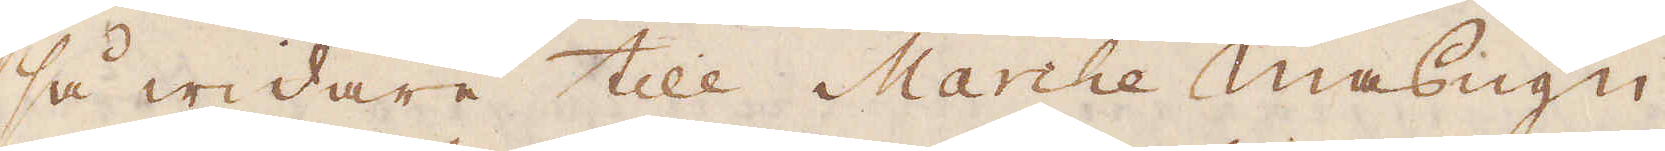så widare till Marche Masugn
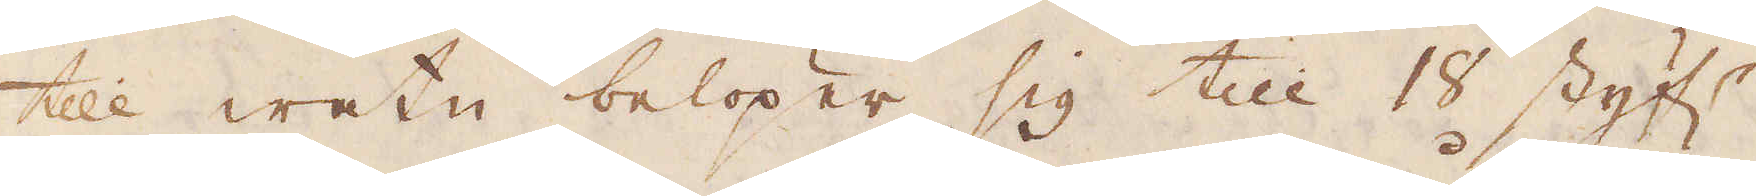till watn belöper sig till 18 Styf:r
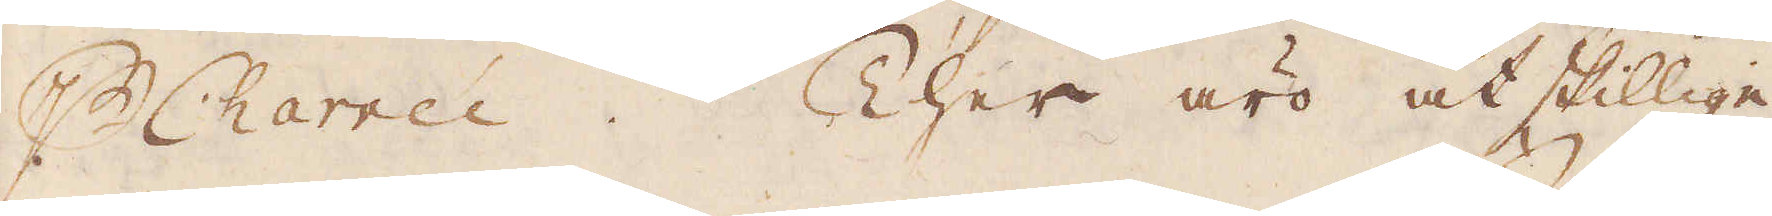p Charrée. Ther äro åtskillige
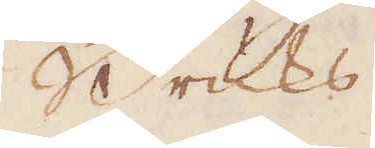Bruks
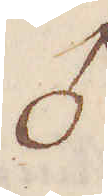♂
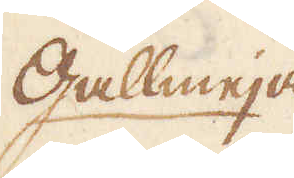Gallmeja
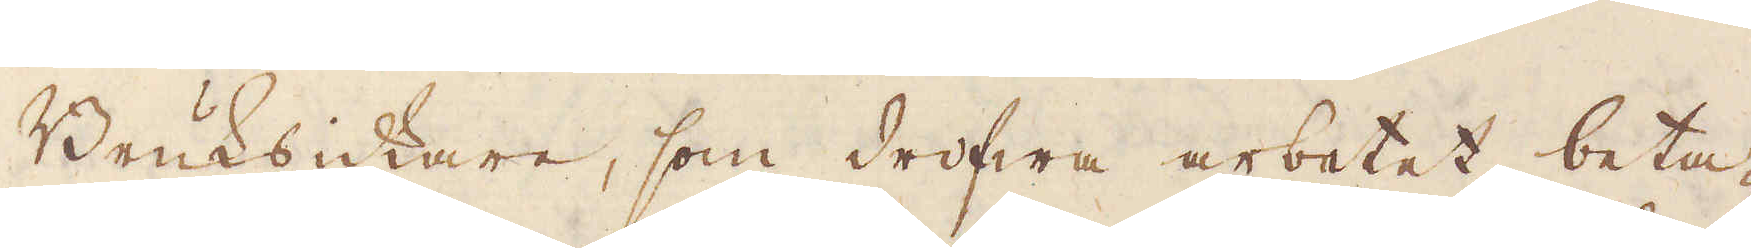Bruksidkare, som drifwa arbetet, beta-
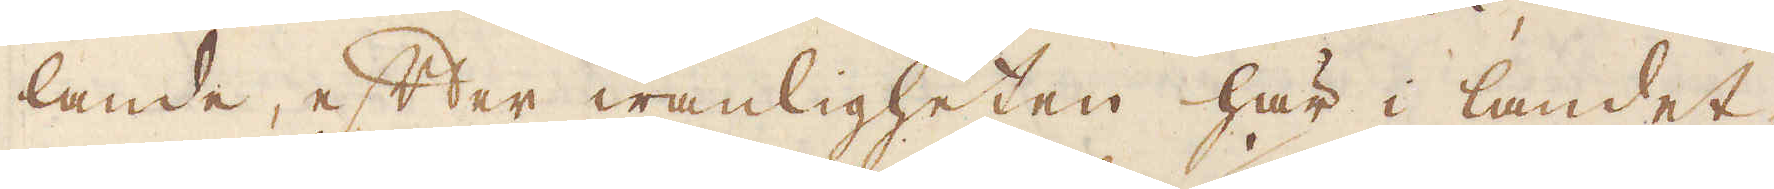lande efter wanligheten här i landet,
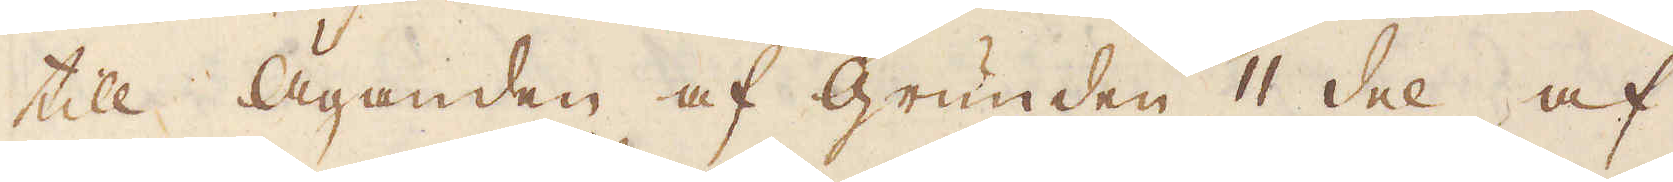till Äganden af grunden 1/11 del af
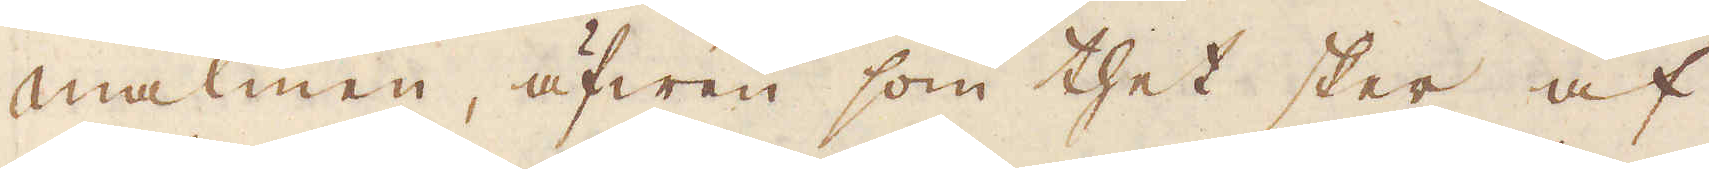malmen, äfwen som thet sker af
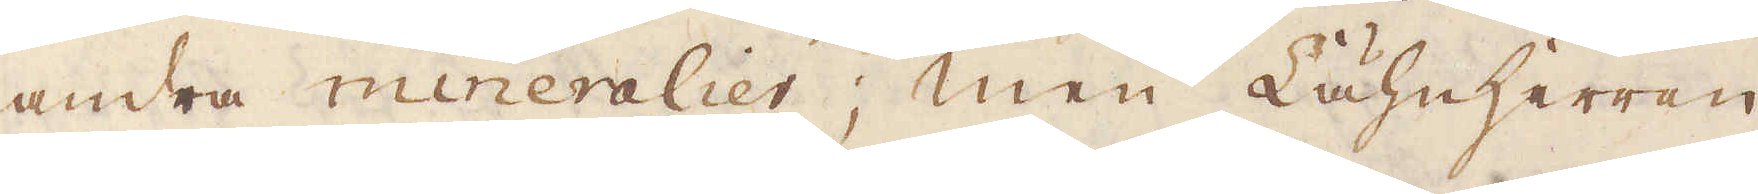andra mineralier; Men Lähnherren
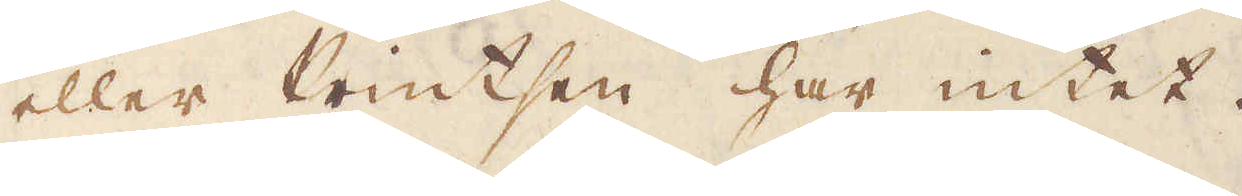eller Printsen har intet.
